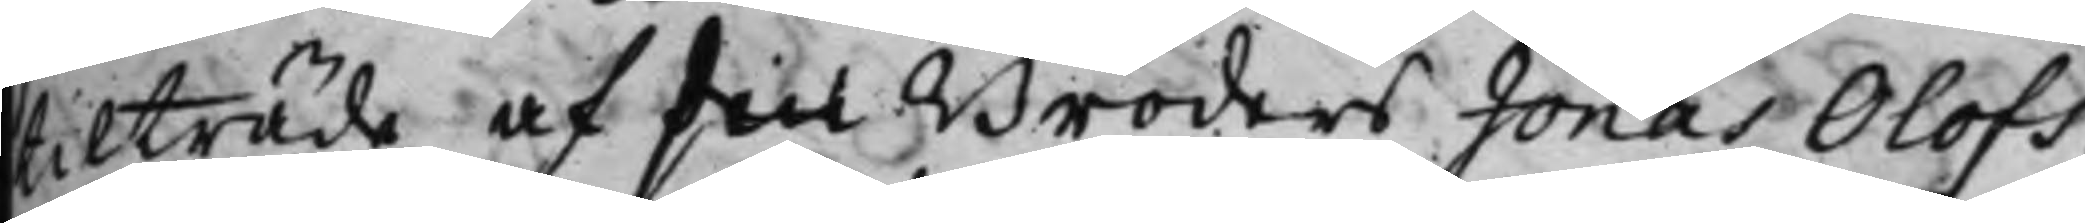tilträde af sin Broders Jonas Olofs¬
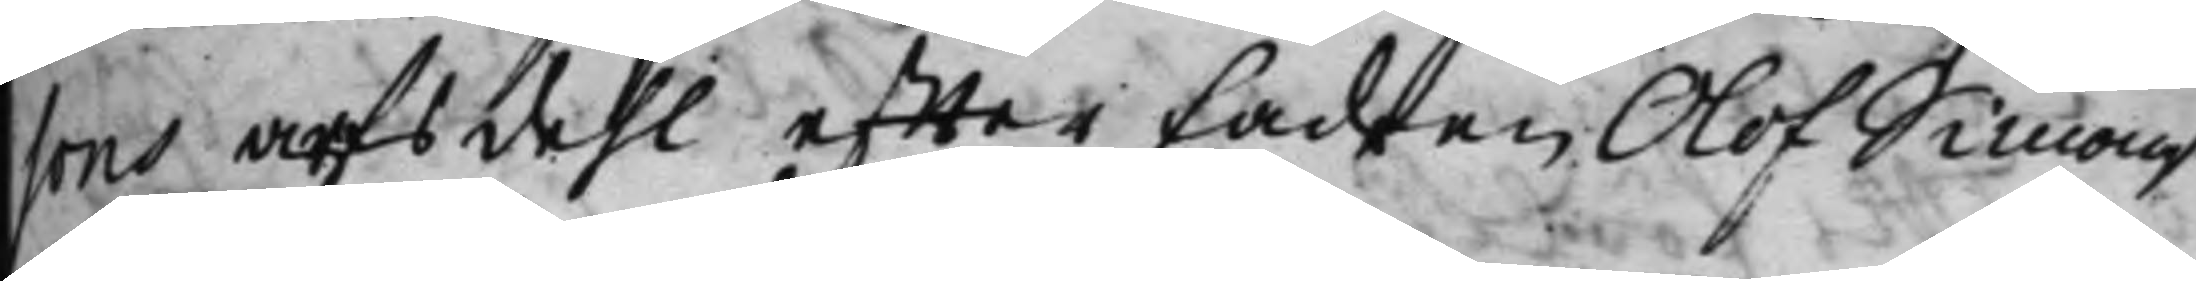sons arfsdehl, effter Fadren Olof Simons¬
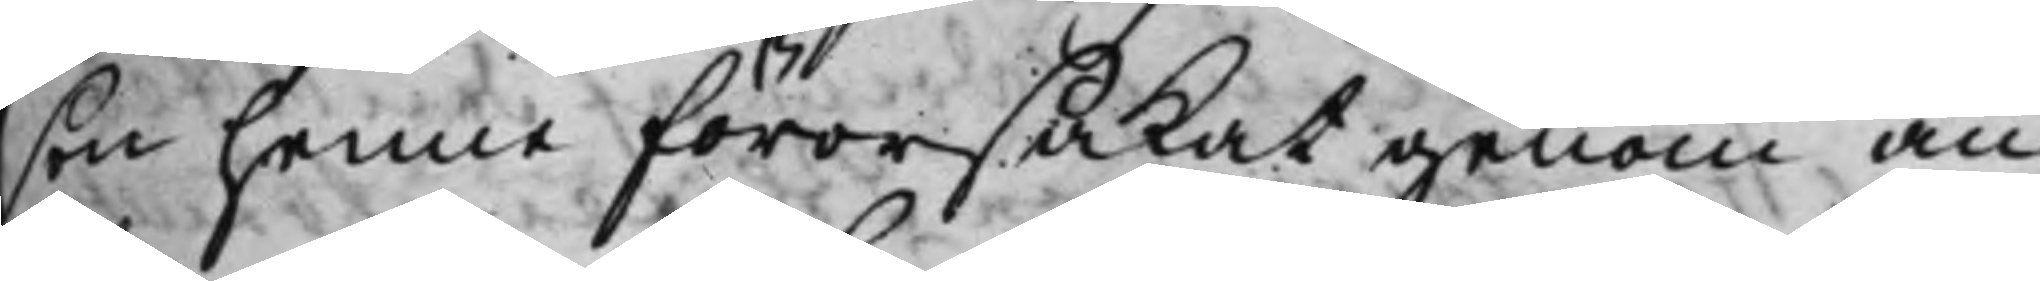son henne förorsakat genom an¬
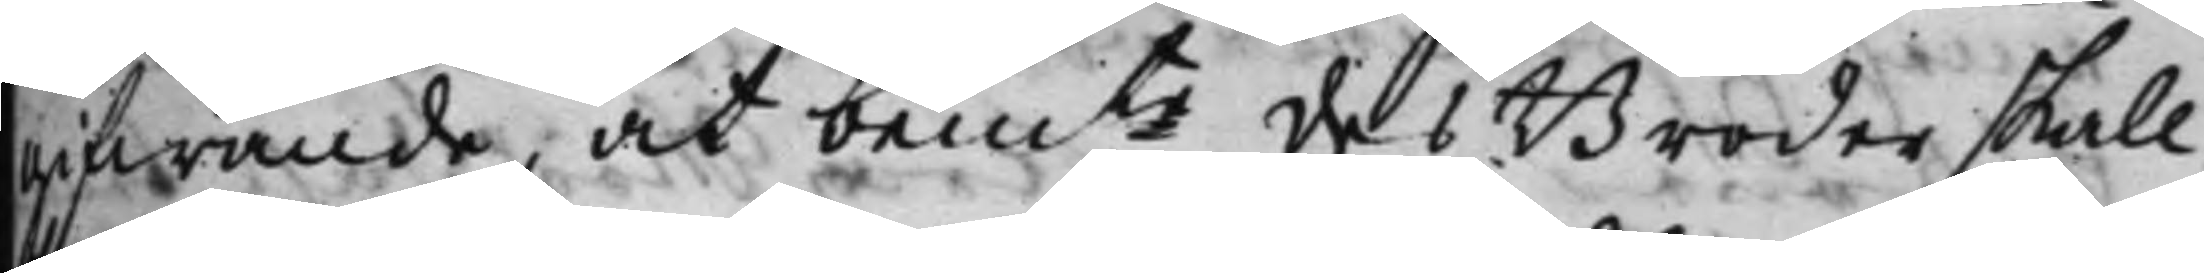gifwande, at bemte des Broder skall
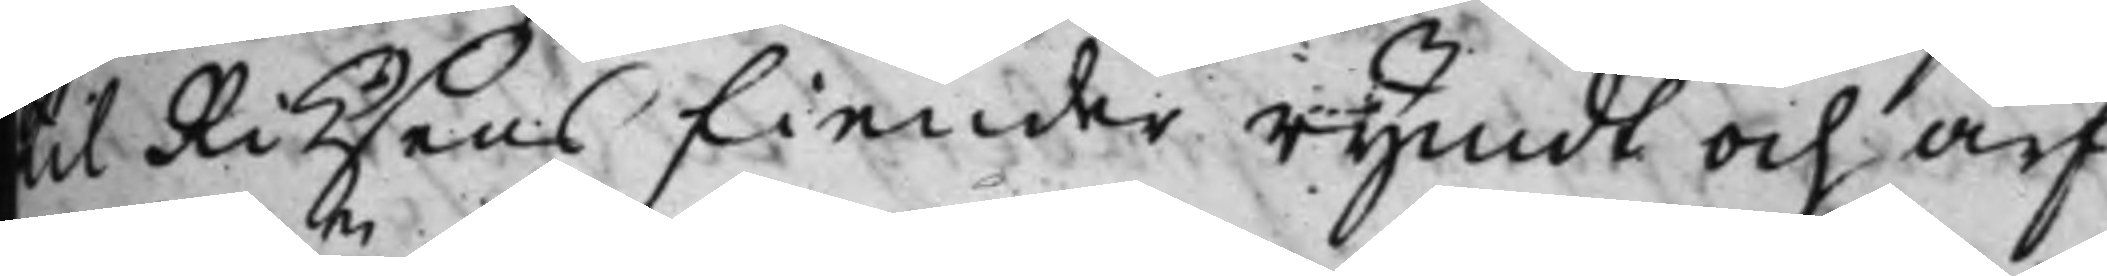till Riksens Fiender rymdt och arf¬
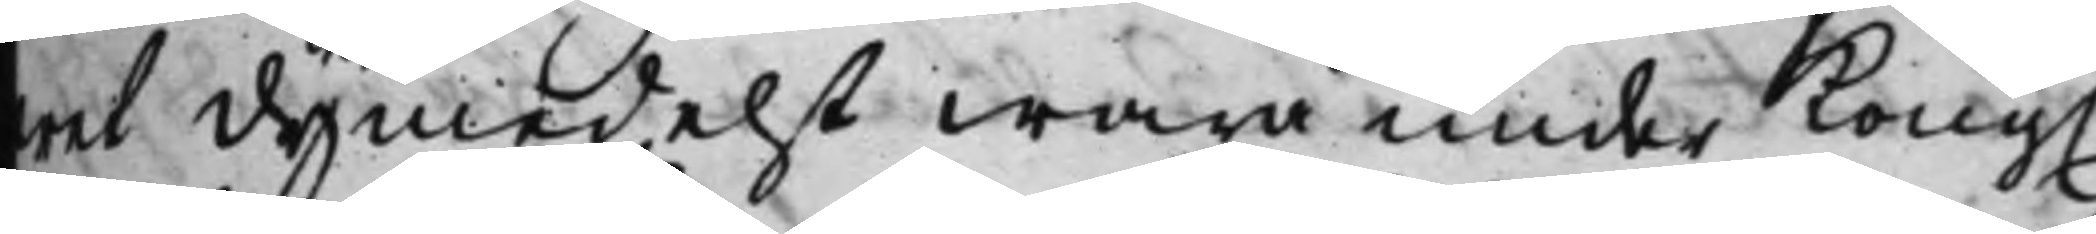wet dymedelst wara under Kong.
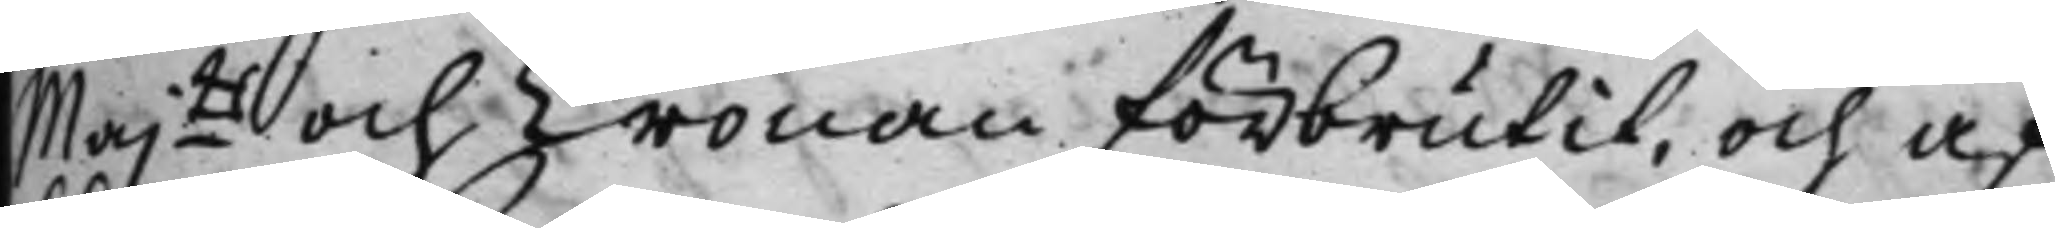Majtt och Cronan förbrutit, och af¬
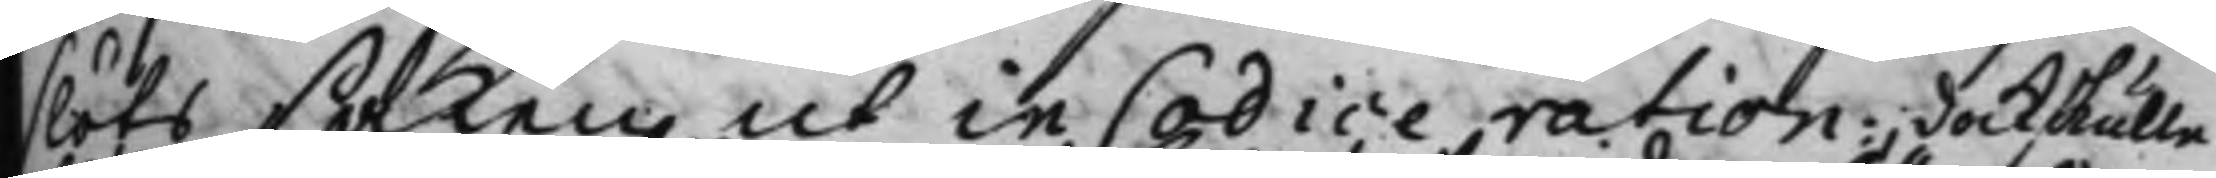slöts saken, ut in Codice ration:; dock skulle
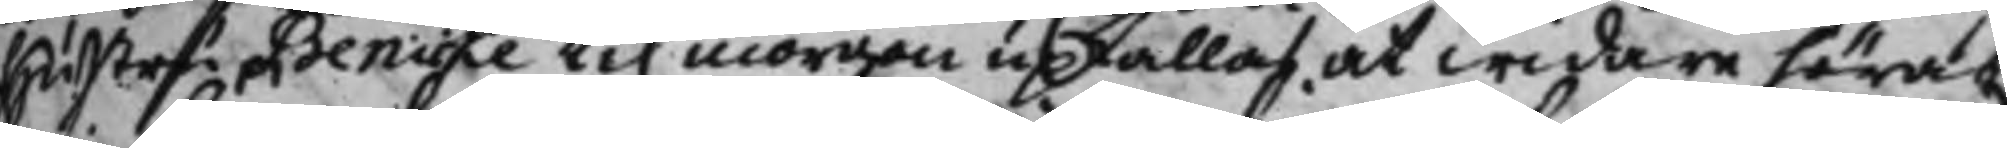hustru Benicke til morgon upkallas at widare höras.
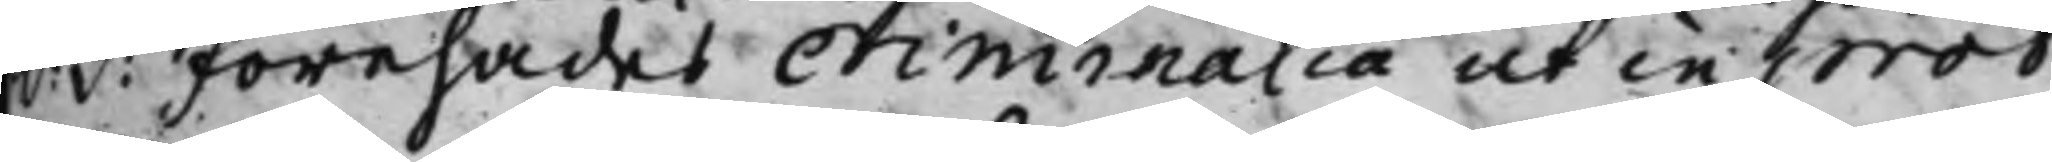S: d: Förehades criminalia ut in prot:
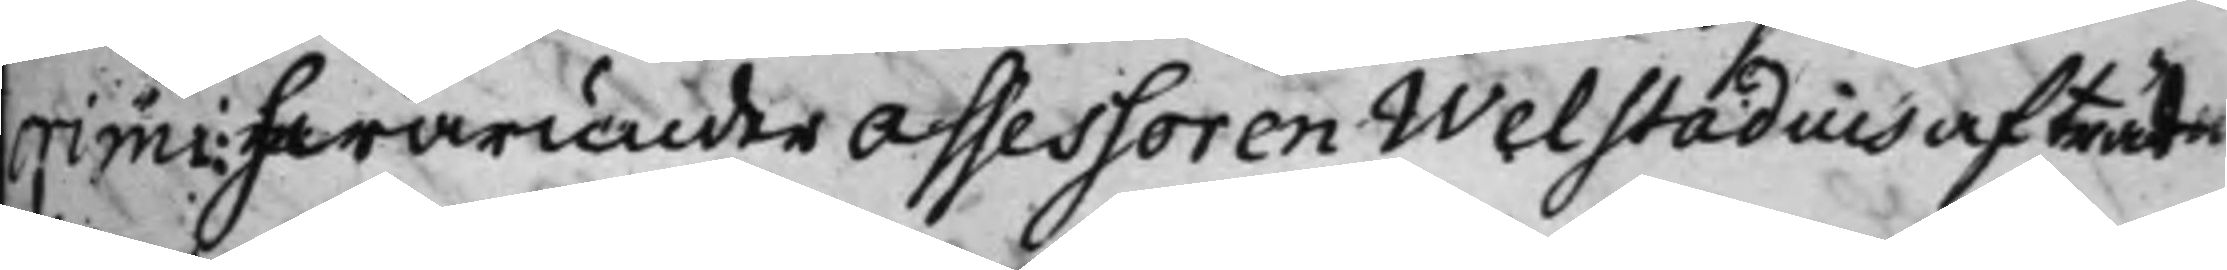crimi: hwarunder Assessoren Welstadius afträd¬
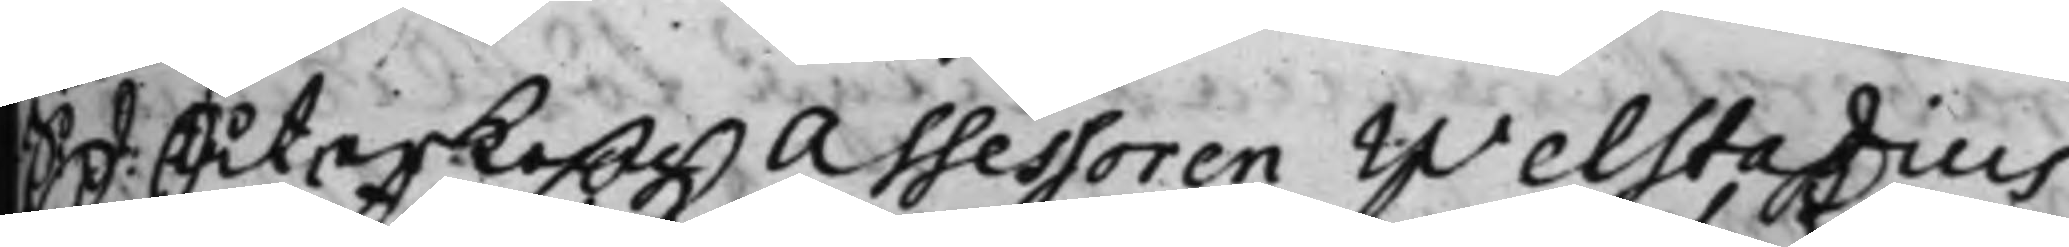S d. återkom Assessoren Welstadius
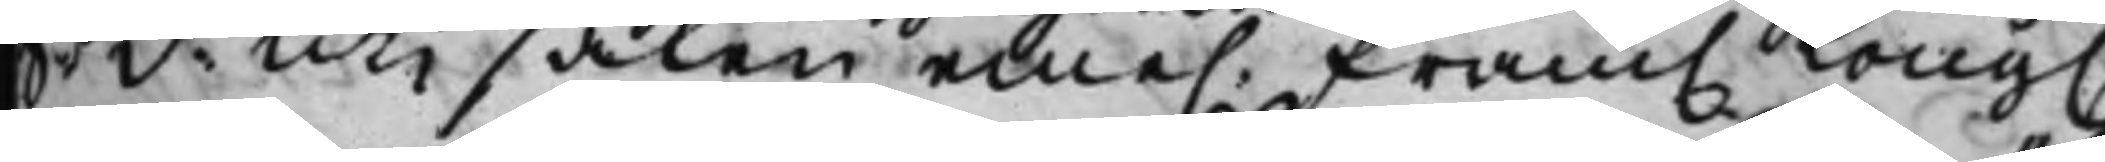S. d: Uti saken eme. fram. Kong.
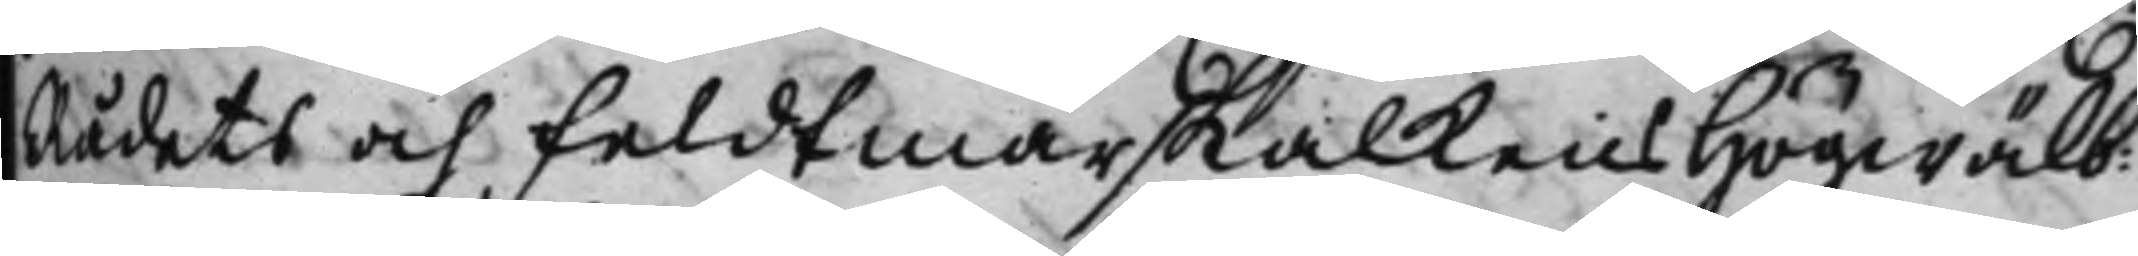Rådets och Feldtmarskalkens Högwälb:
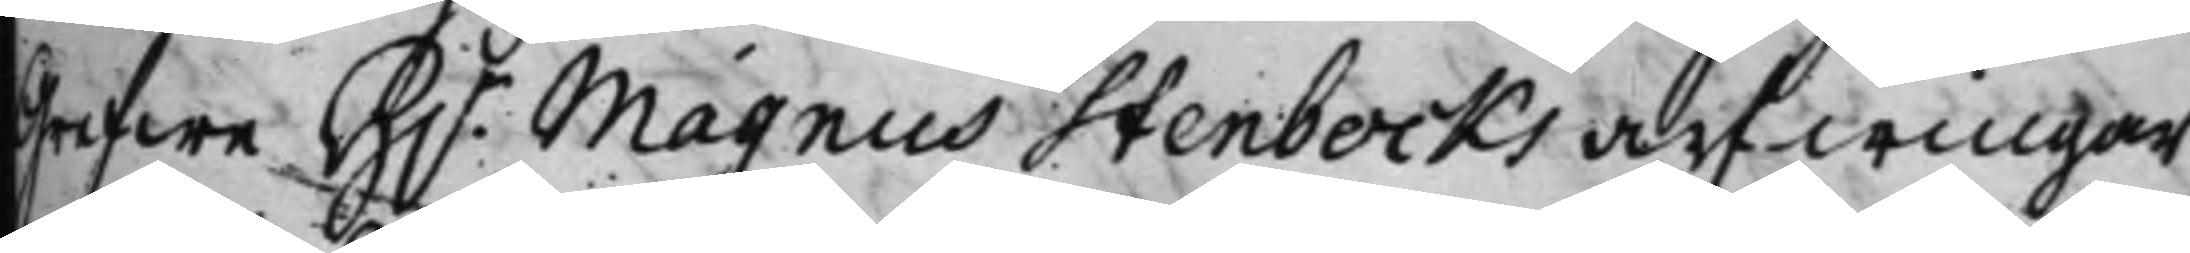Grefwe H.r Magnus Stenbocks arfwingar
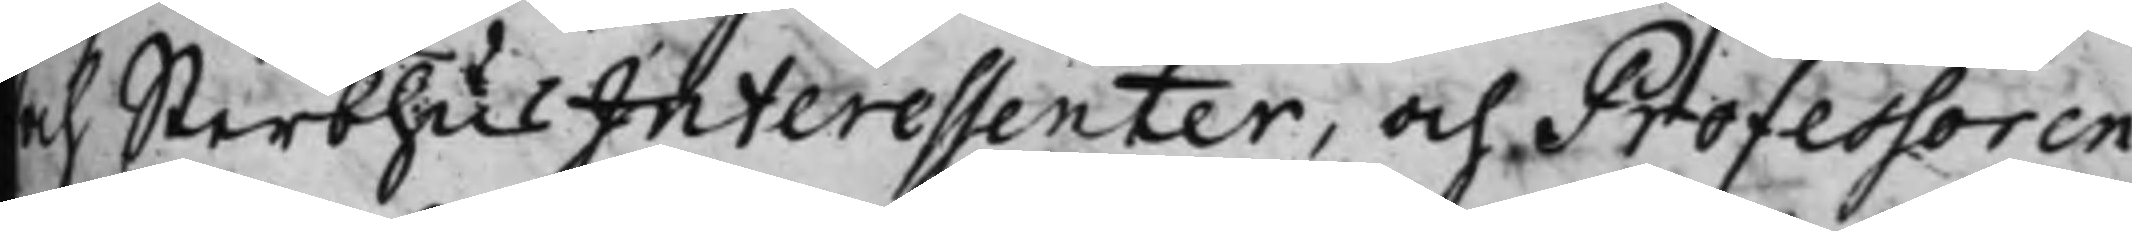och SterbhusInteressenter, och Professoren
